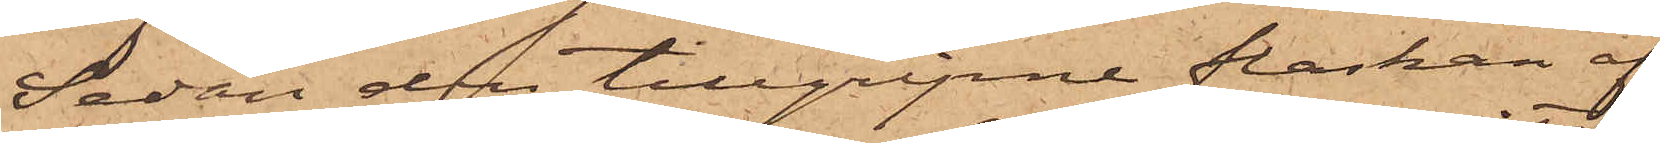Sedan den tillgripne flaskan af
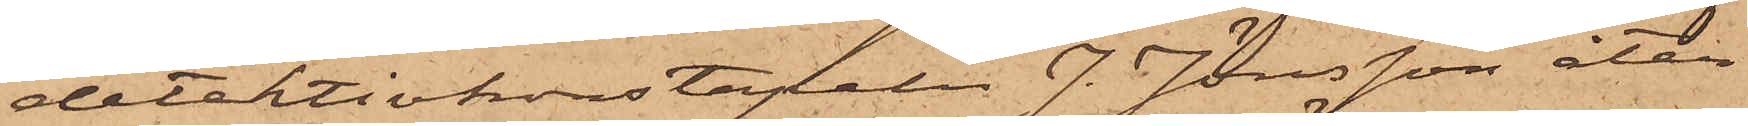detektivkonstapeln J. Jönsson åter¬
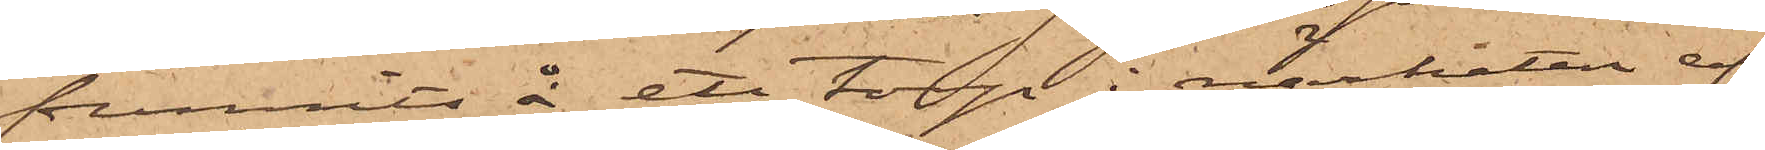funnits å ett torp i närheten af
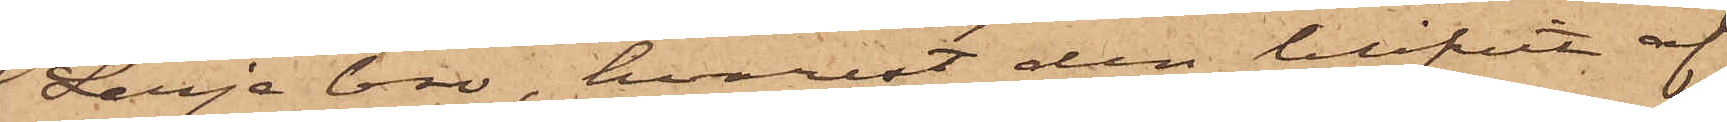Lerje bro, hvarest den blifvit af
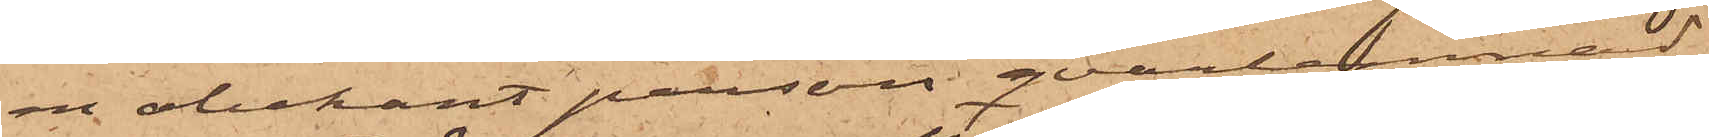en obekant person qvarlemnad,
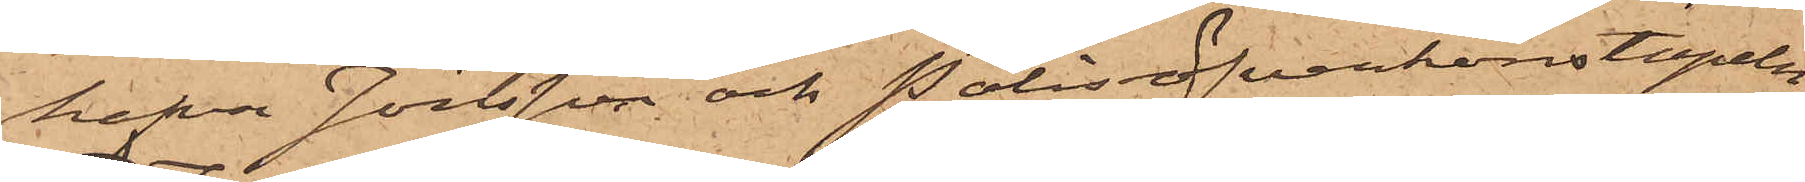hafva Jönsson och Polisöfverkonstapeln
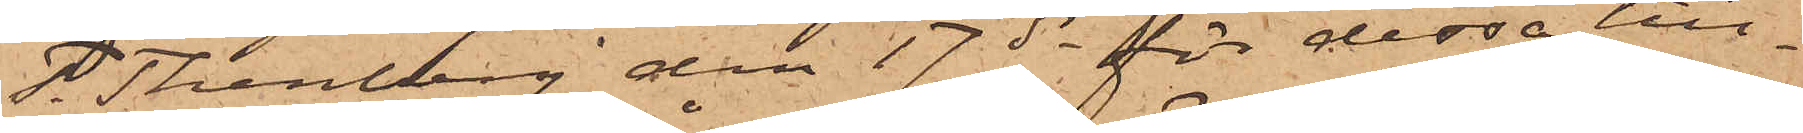T. Thenberg den 17 ds för dessa till¬
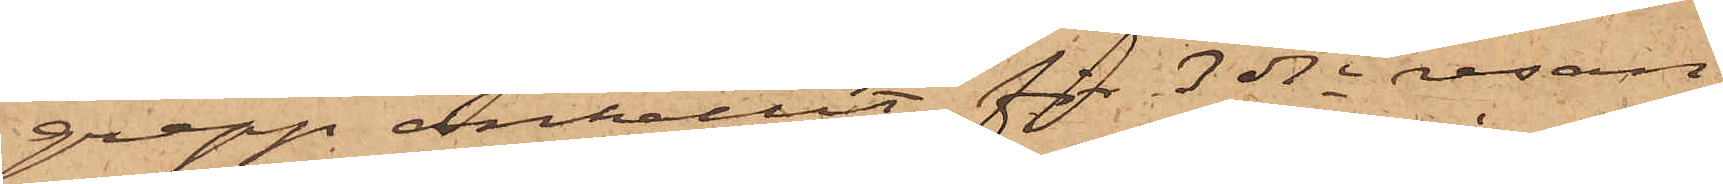grepp anhållit för 3dje resan
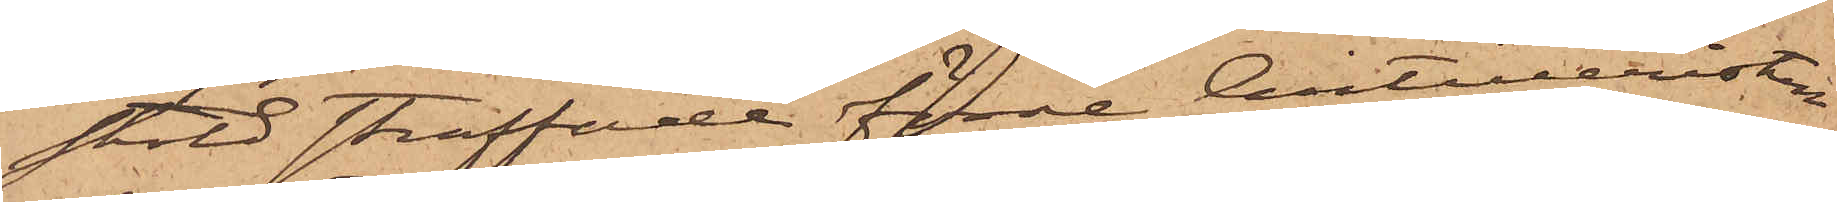stöld straffade förre Artilleristen
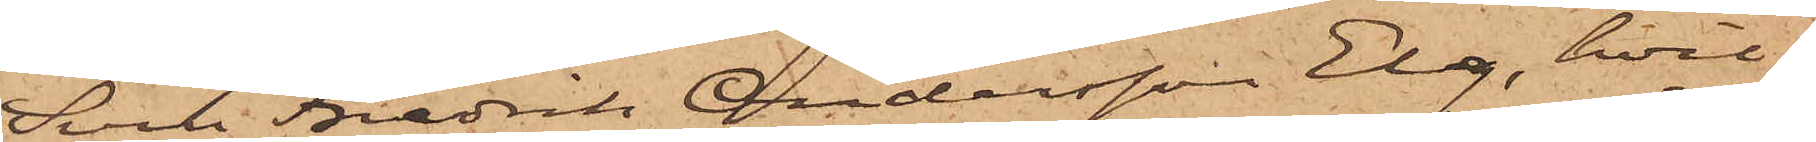Sven Fredrik Andersson Elg, hvil¬
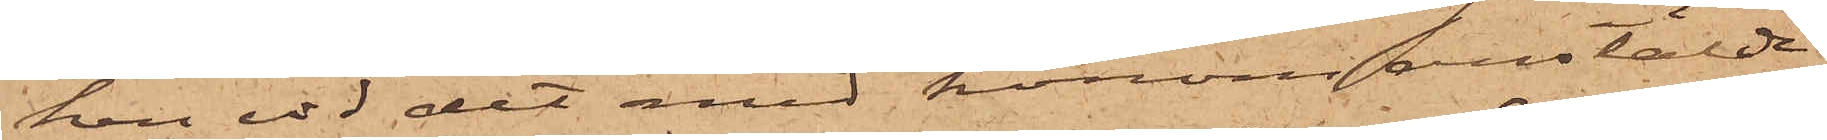ken vid det med honom anstälde
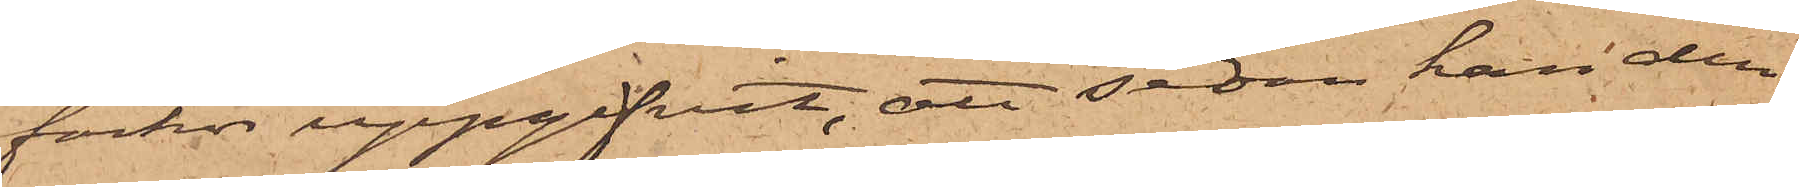förhör uppgifvit, att sedan han den
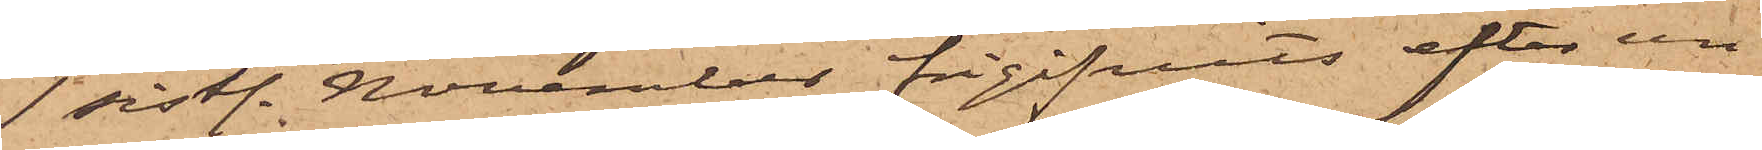1 sistl. November frigifvits efter un¬
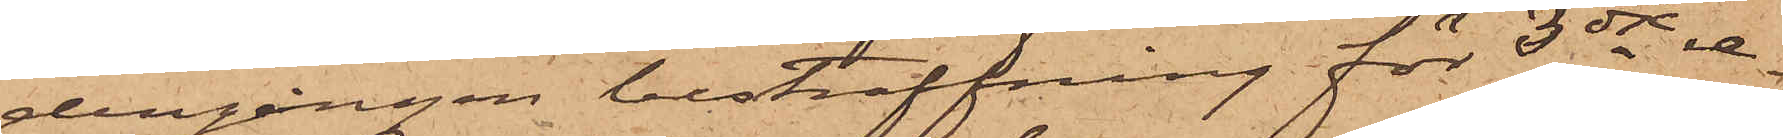dergången bestraffning för 3dje re¬
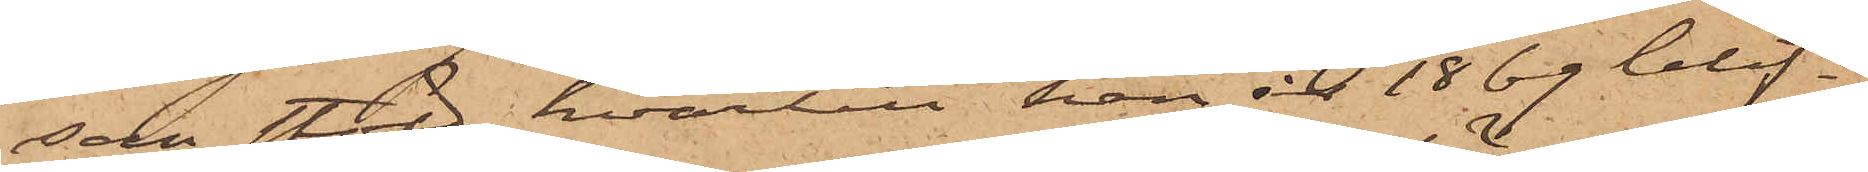san stöld, hvartill han år 1869 blif¬
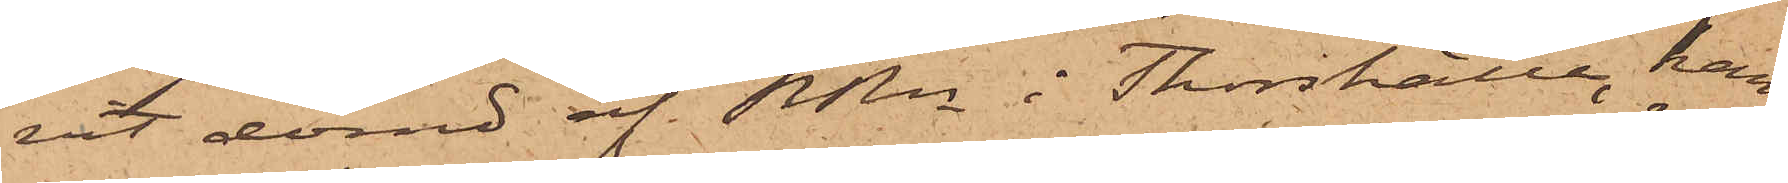vit dömd af RRn i Thorshälla, han
